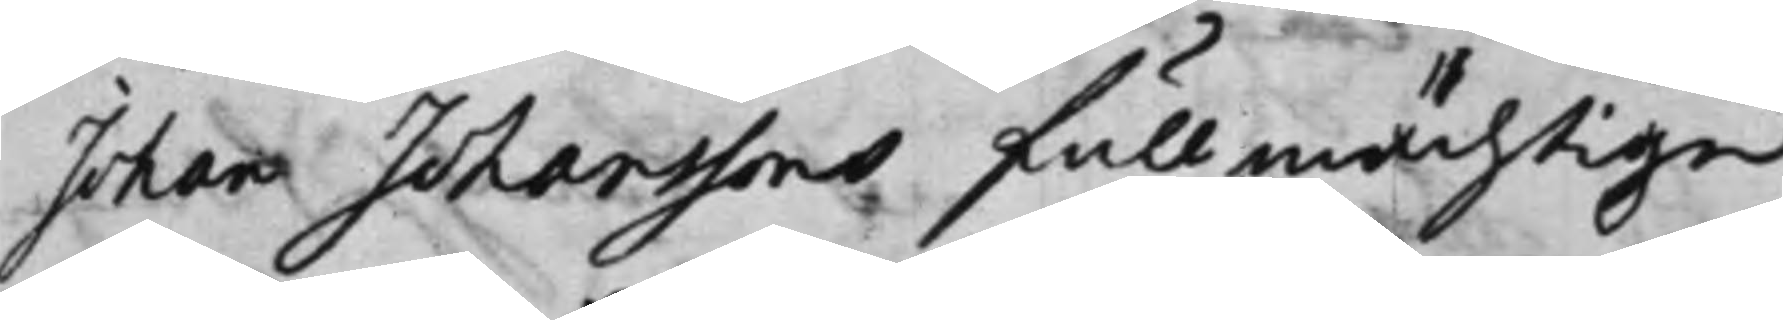Johan Johanssons fullmächtige,
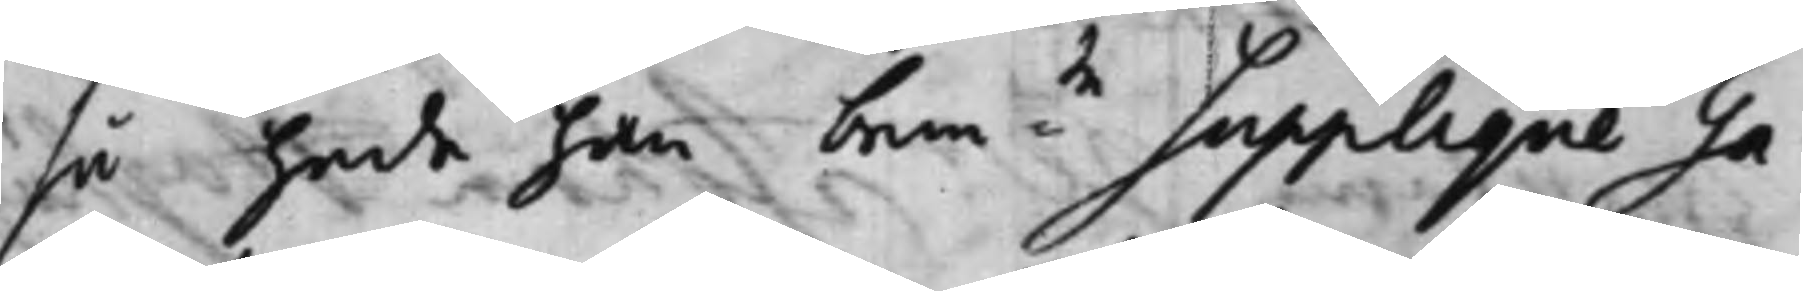så hade han bem:te Supplique Ga¬
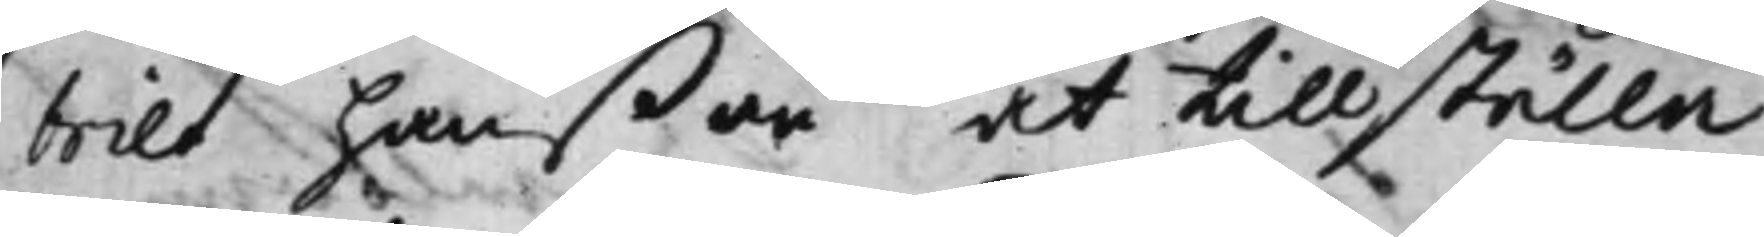briel Hanßon at tillställa,
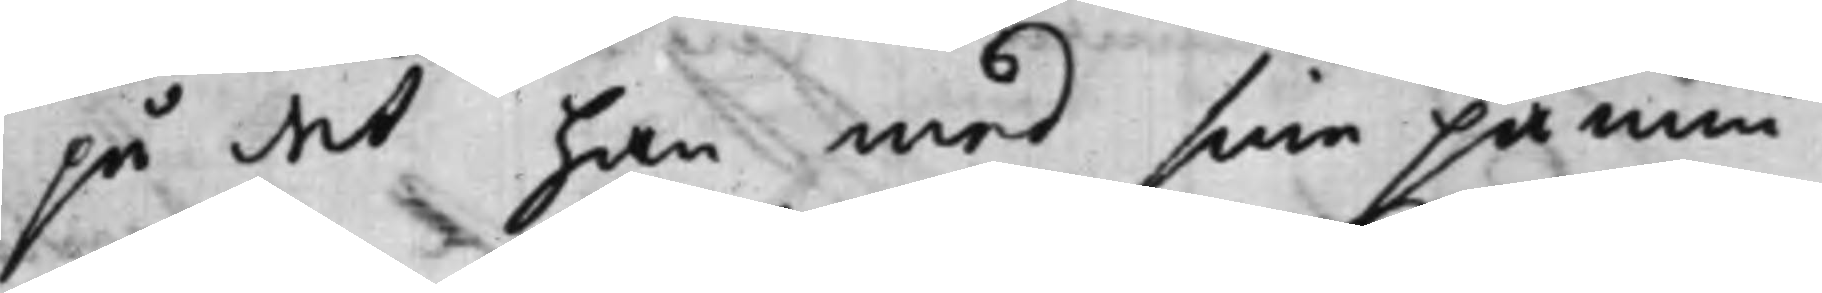på det han med sina påmin¬
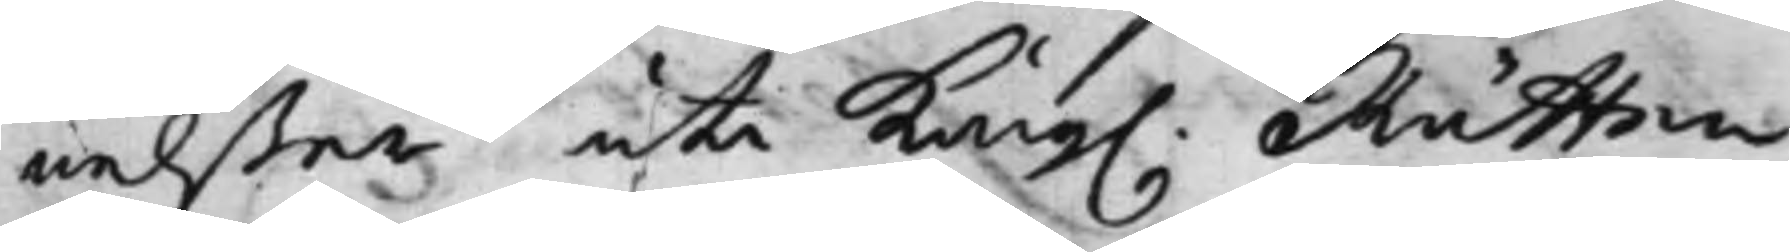nelßer uti Kong. Rätten
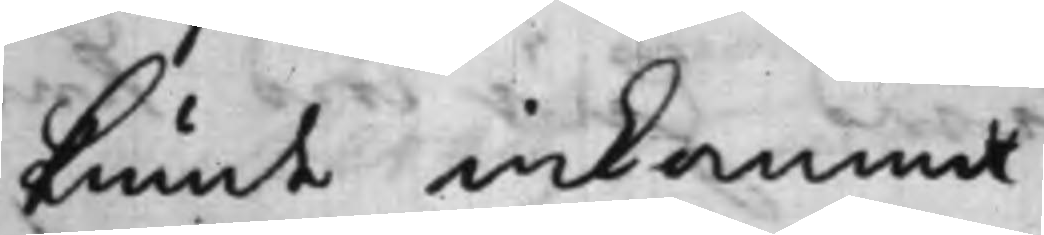kunde inkomma.
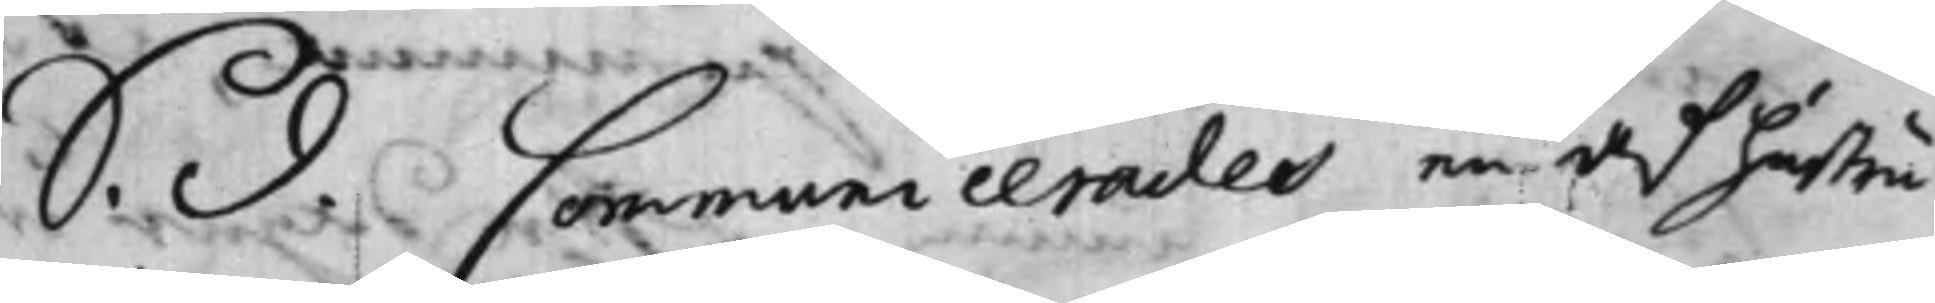S. d. Communicerades en af hustru
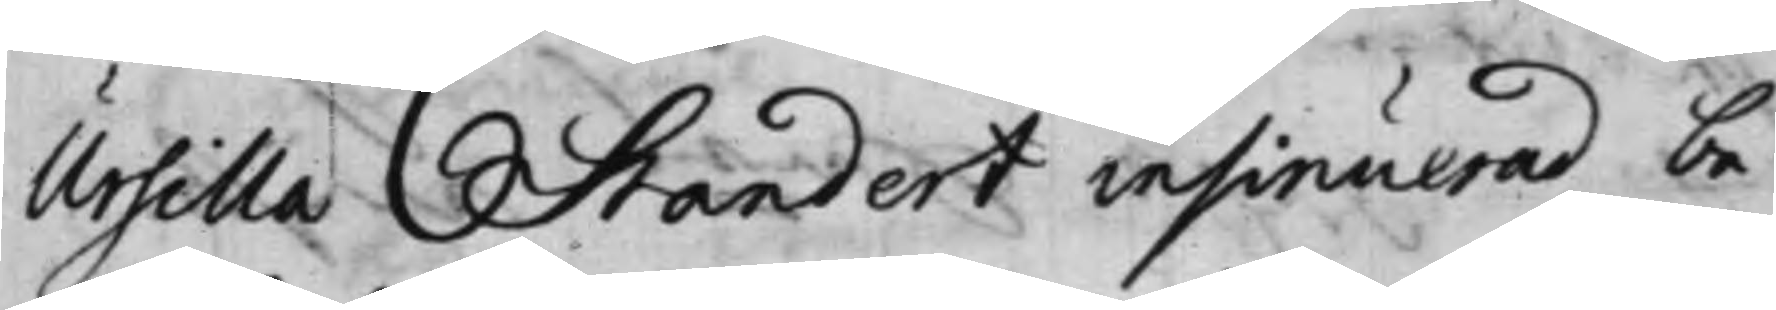Ursilla Standert insinuerad be¬
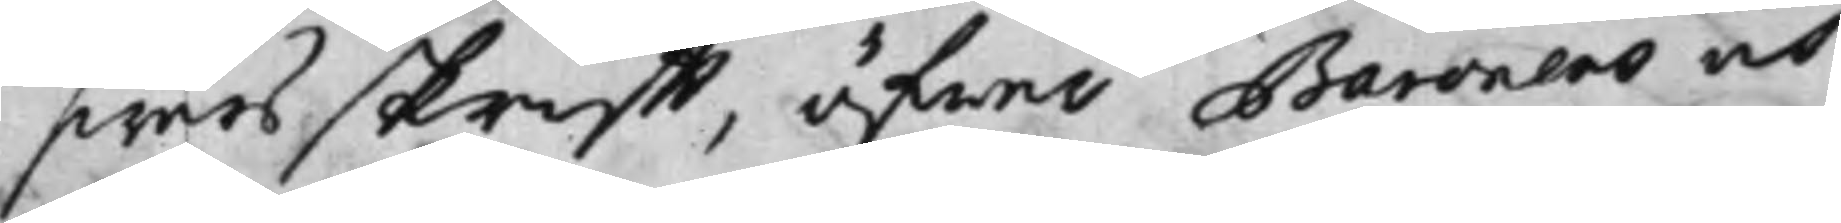swärsskrifft, öfwer Baronens och
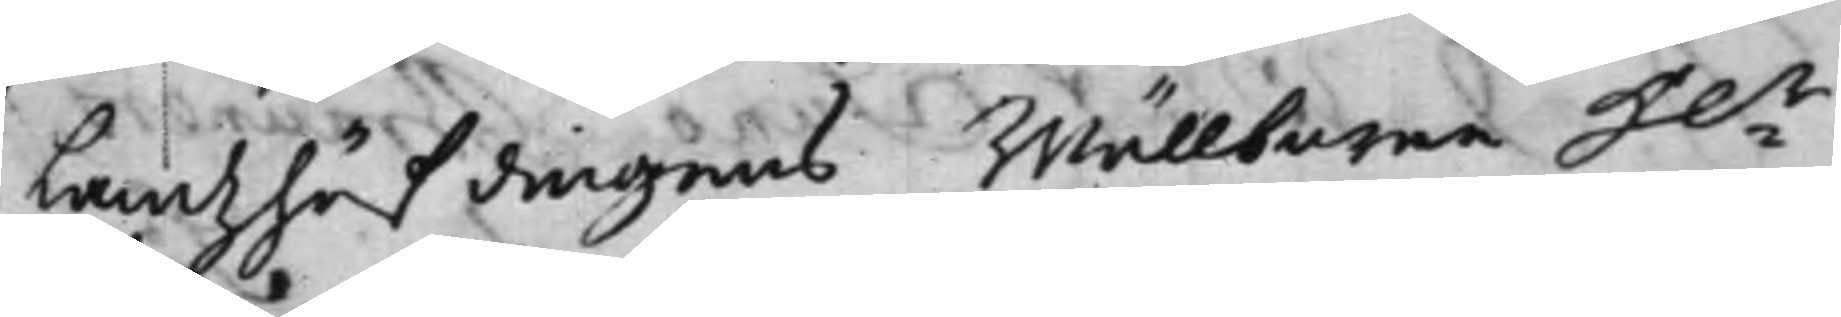Landzhöfdingens Wällborne H:r
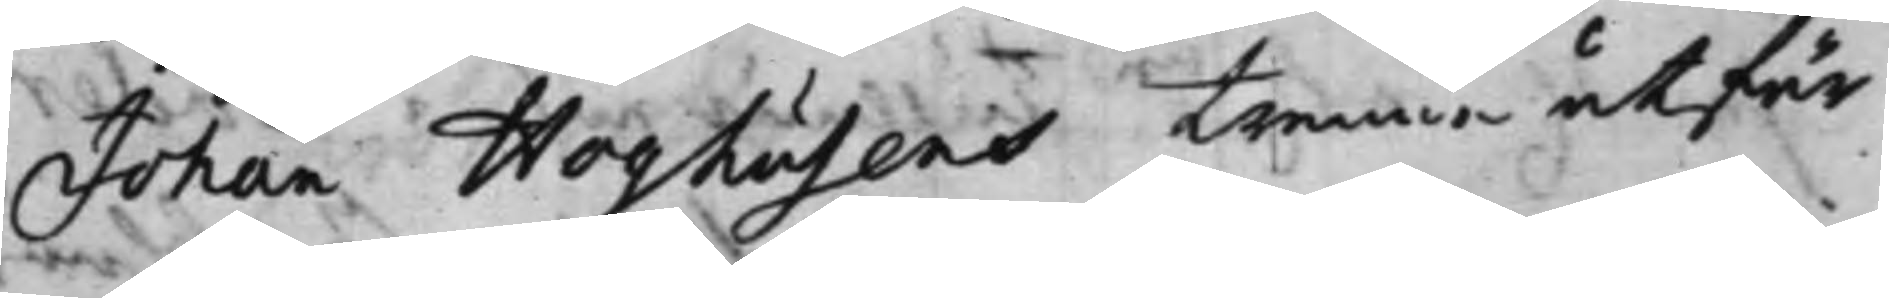Johan Hoghusens trenne utfär¬
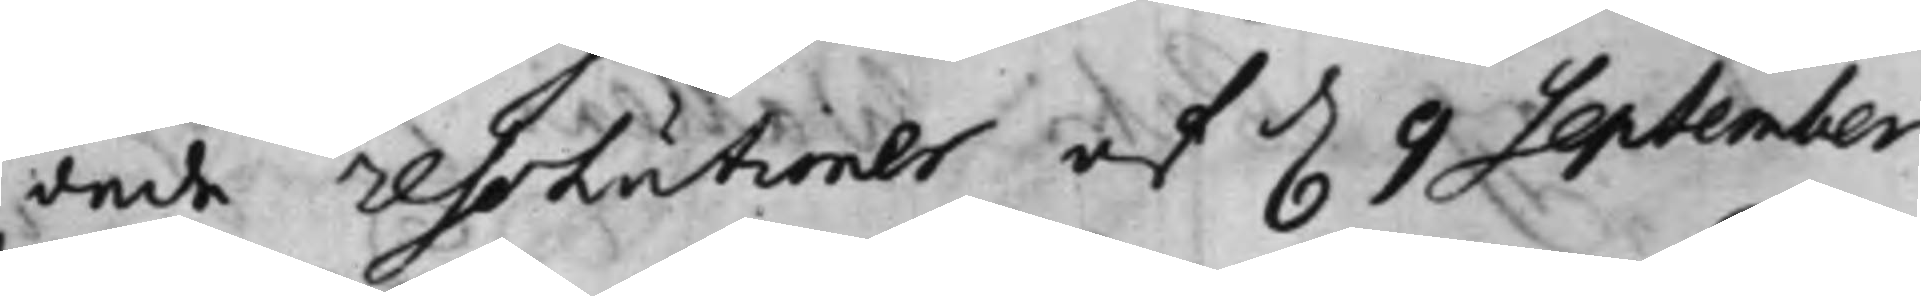dade resolutioner af d. 9 September
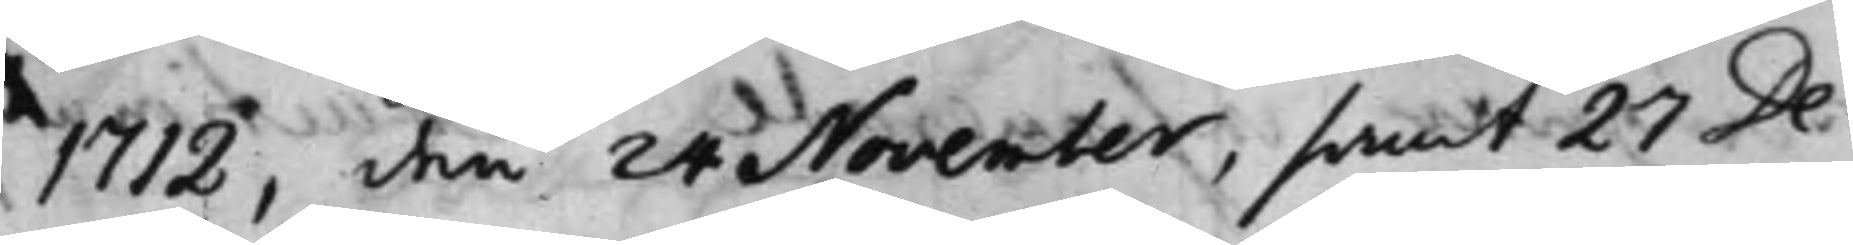1712, den 24 November, samt 27 De¬
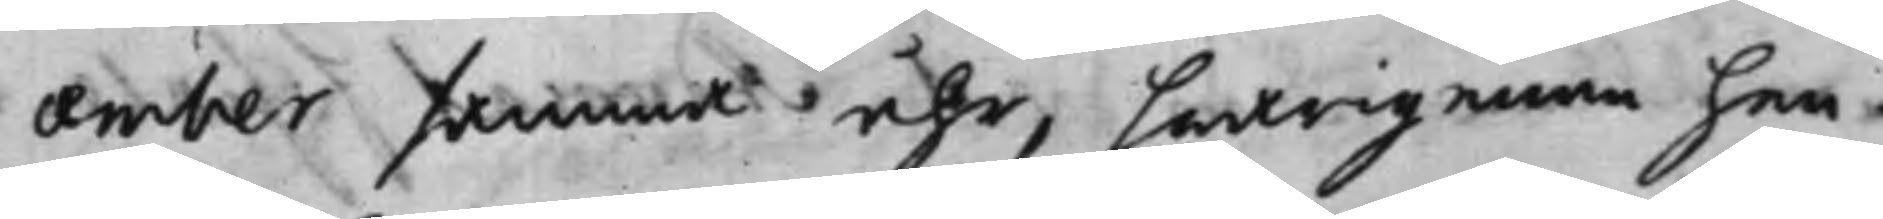cember samma åhr, hwarigenom hen¬
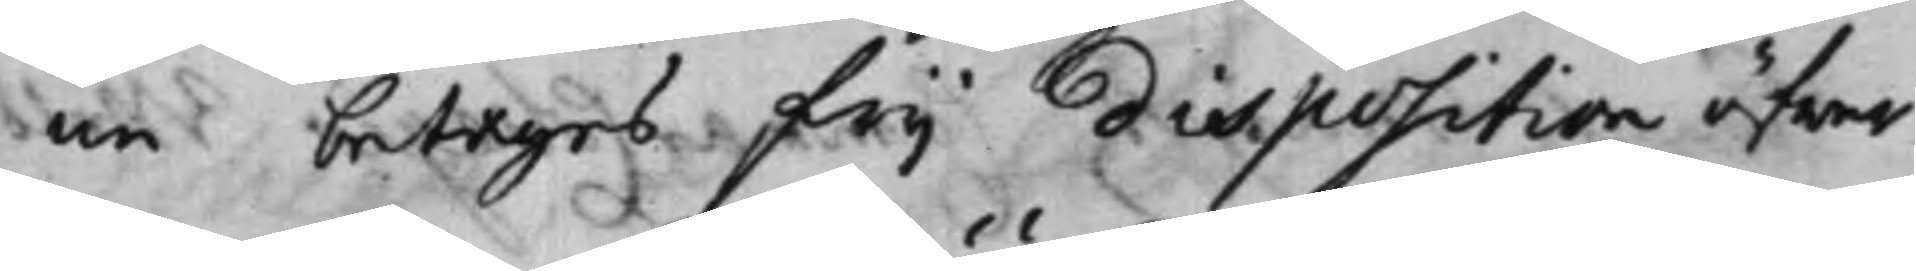ne betages frij disposition öfwer
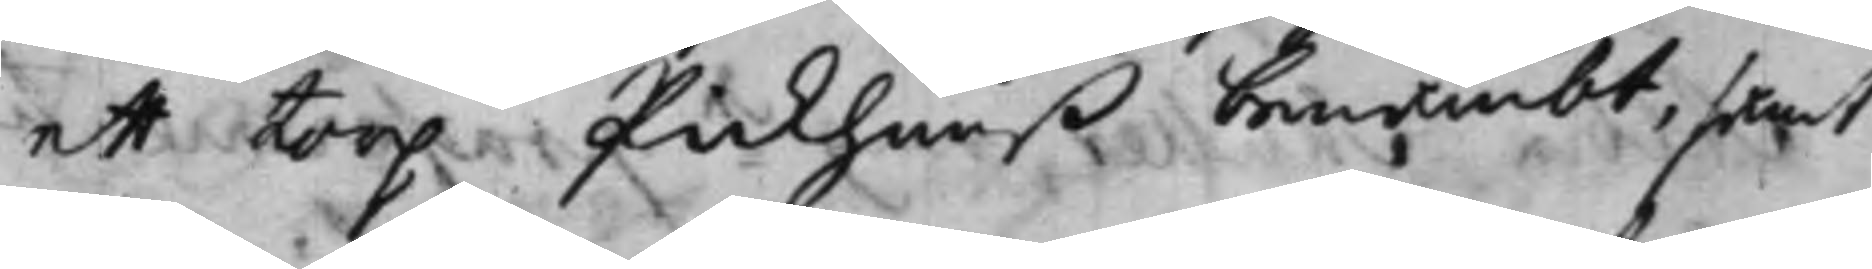ett torp Pickhuuß benämbt, samt
